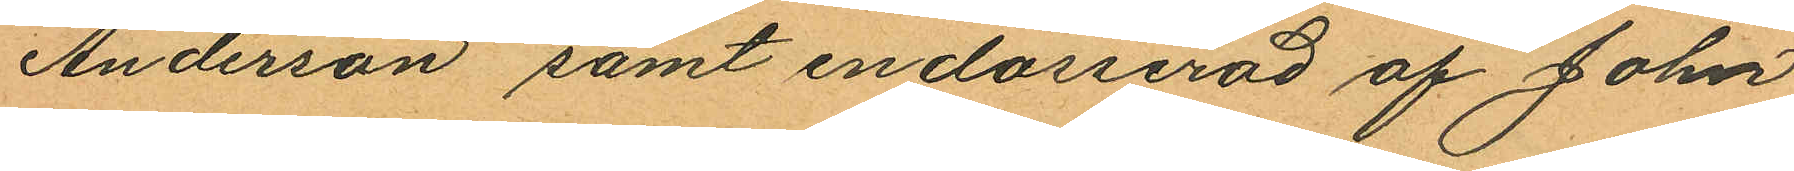Anderson samt endosserad af John
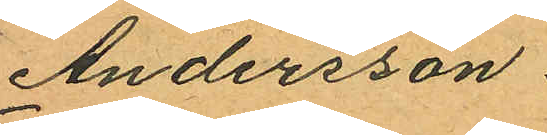Andersson.
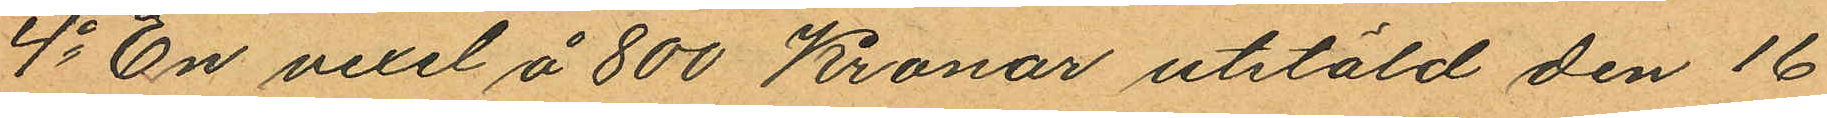4o En vexel å 800 Kronor utstäld den 16
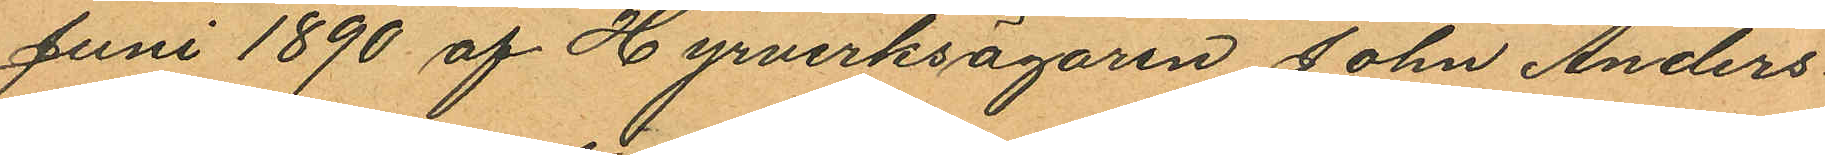Juni 1890 af Hyrverksägaren John Anders
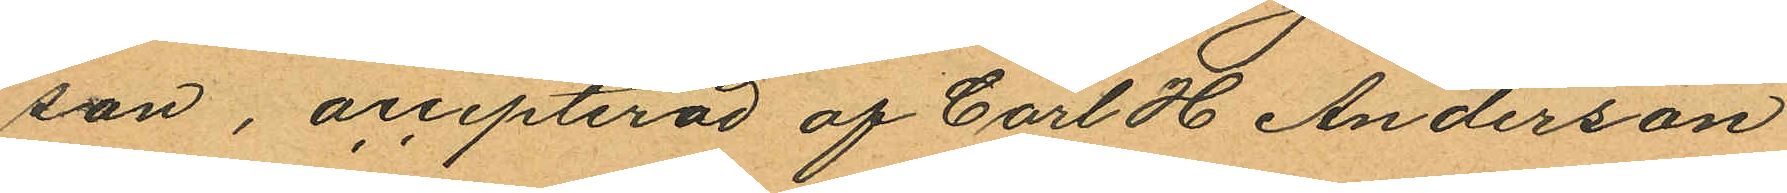son, accepterad af Carl H Anderson
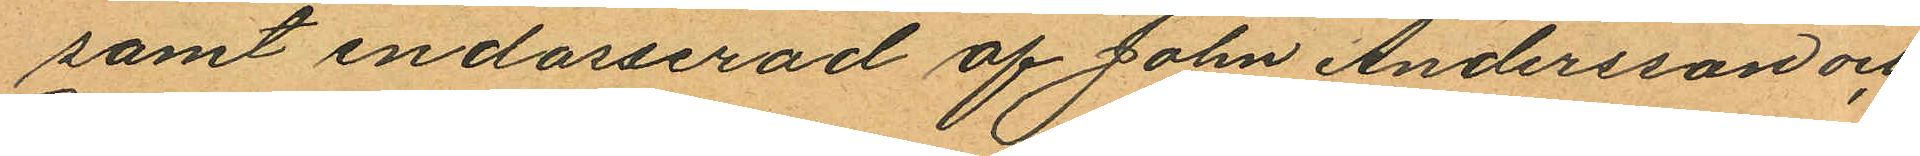samt endosserad af John Andersson och
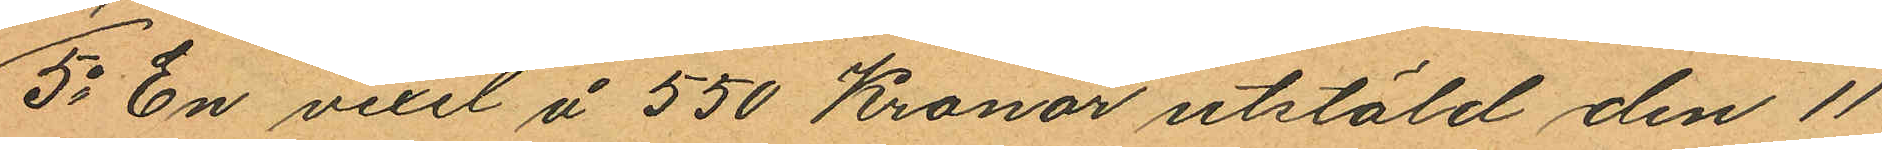5o En vexel å 550 Kronor utstäld den 11
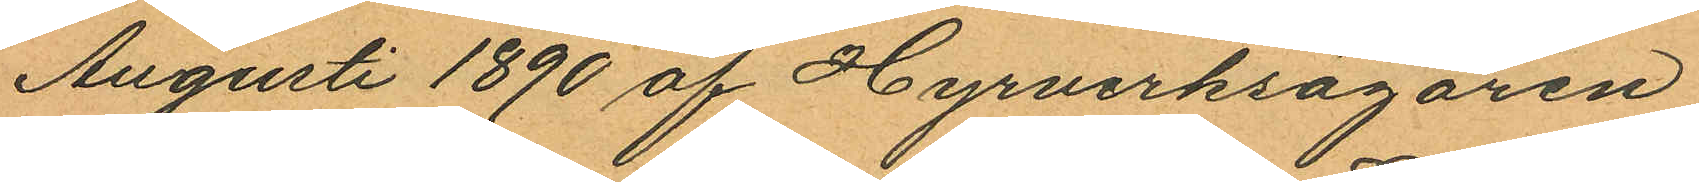Augusti 1890 af Hyrverksägaren
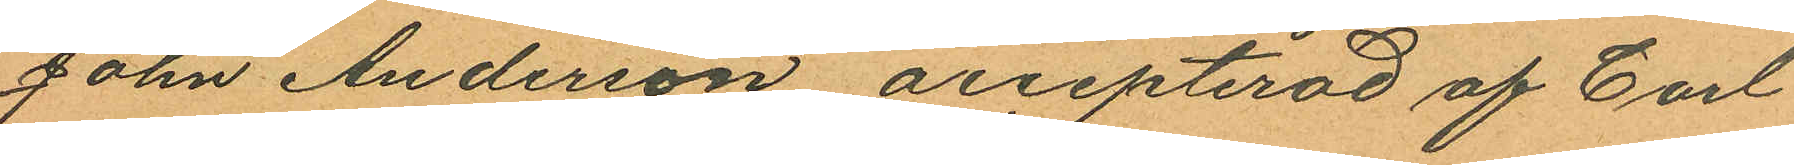John Anderson, accepterad af Carl
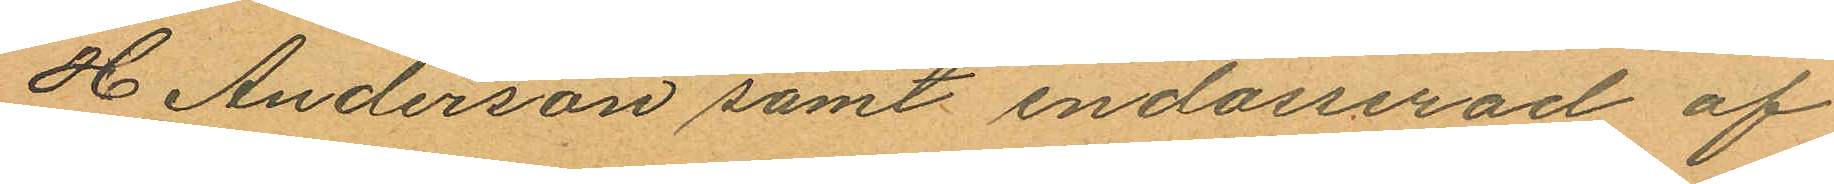H Anderson samt endosserad af
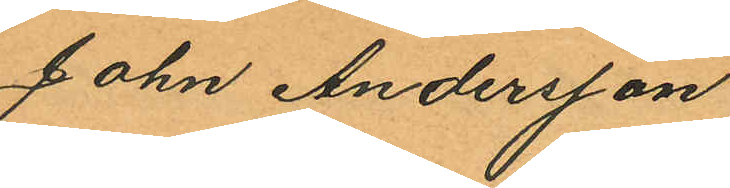John Andersson
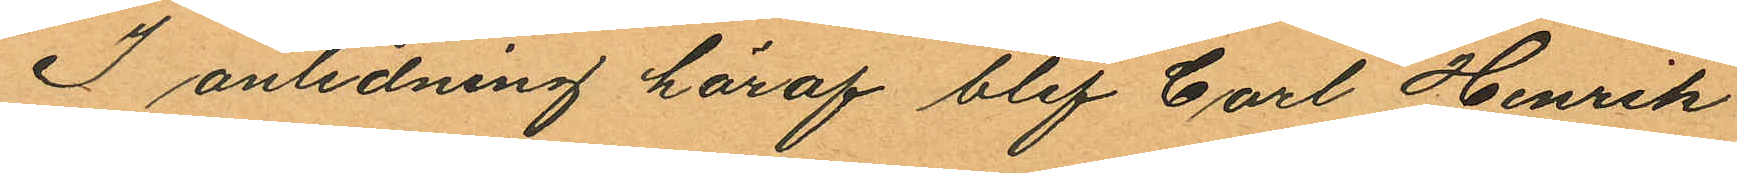I anledning häraf blef Carl Henrik
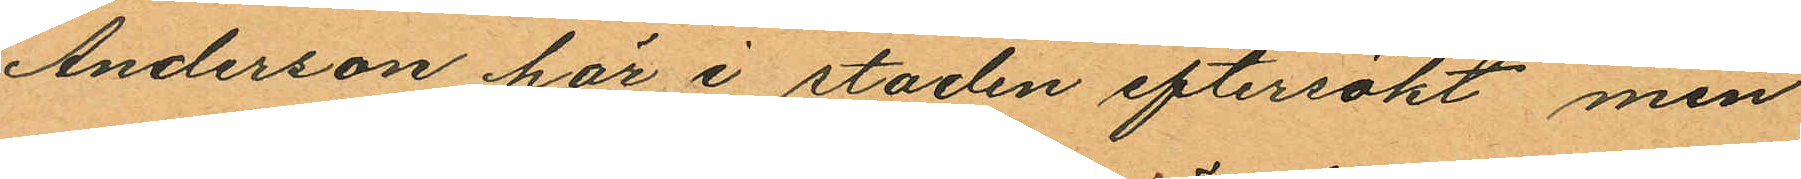Anderson här i staden eftersökt men
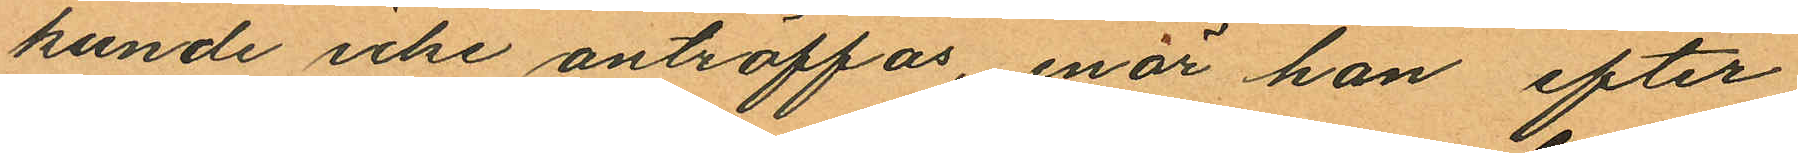kunde icke anträffas, enär han efter
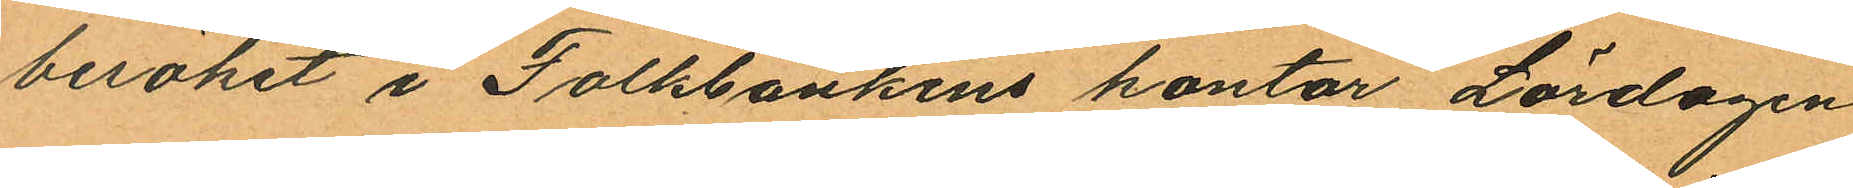besöket i Folkbankens kontor Lördagen
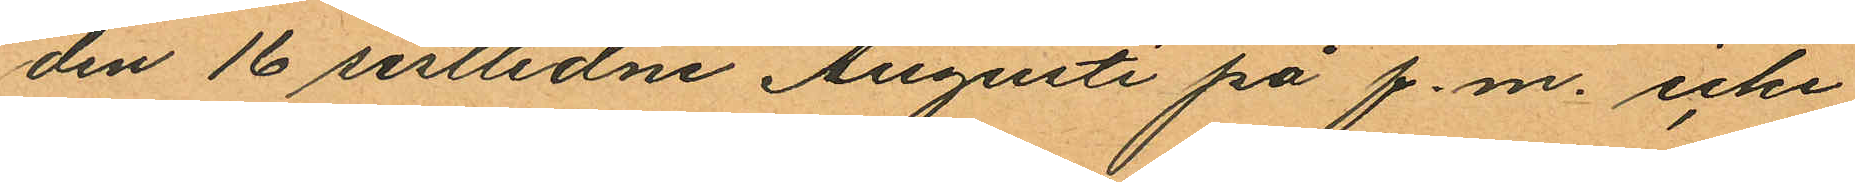den 16 sistlidne Augusti på f.m. icke
